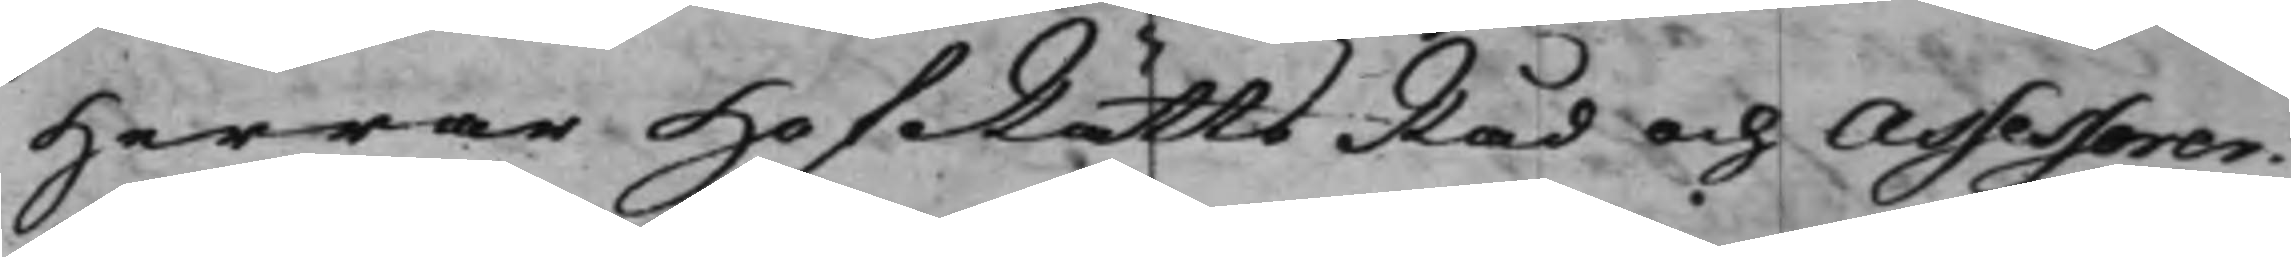Herrar HofRättsRåd och Assessorer.
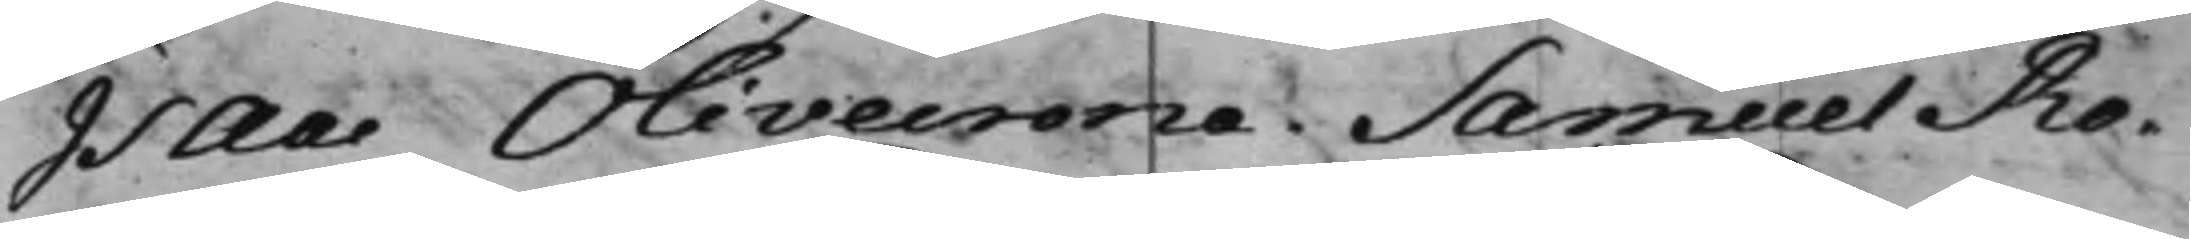Isaac Olivecrona. Samuel Ro¬
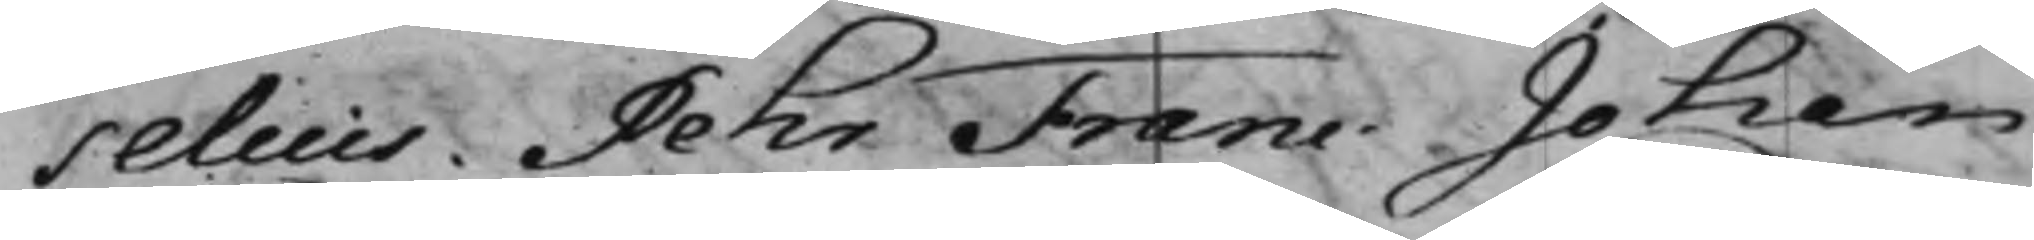selius. Pehr Franc. Johan
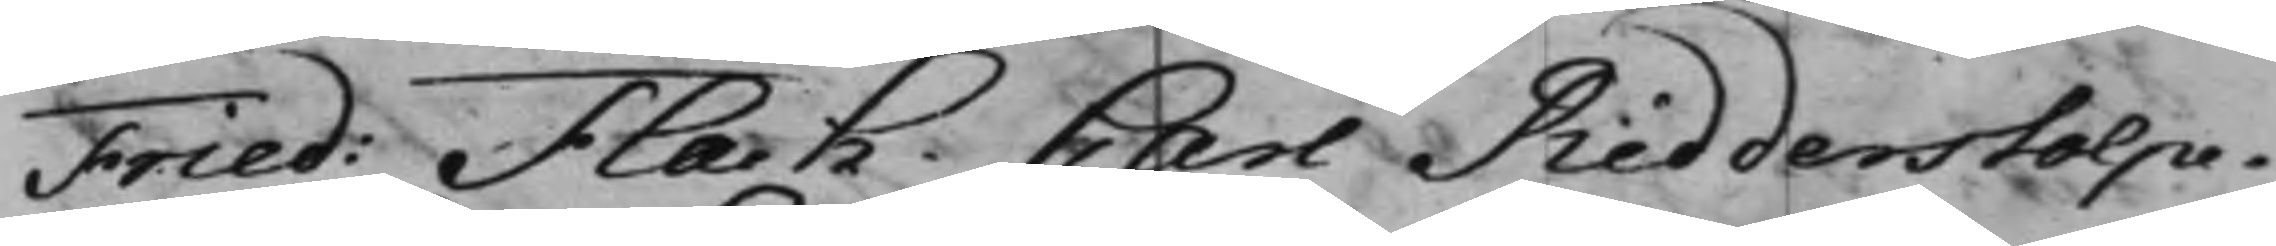Fried: Flach. Carl Ridderstolpe.
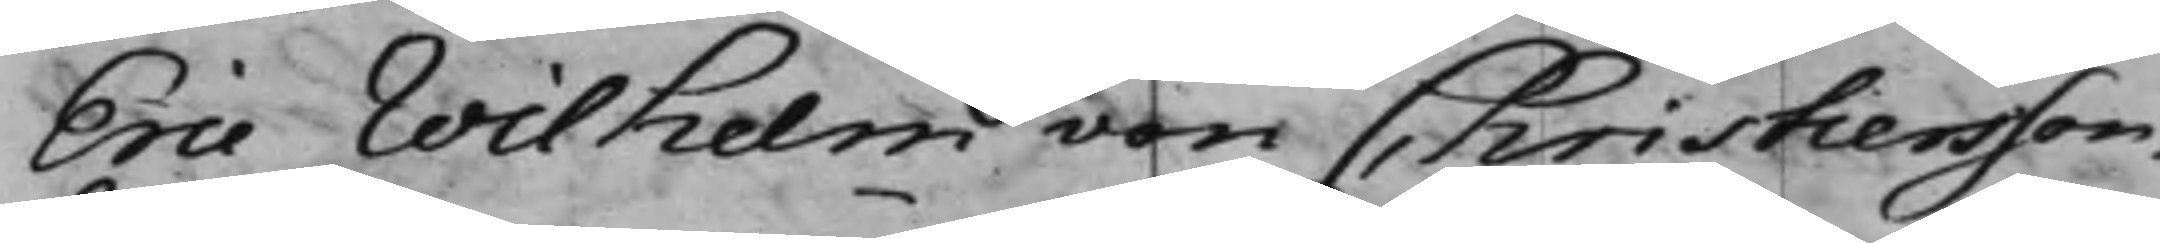Eric Wilhelm von Christiersson.
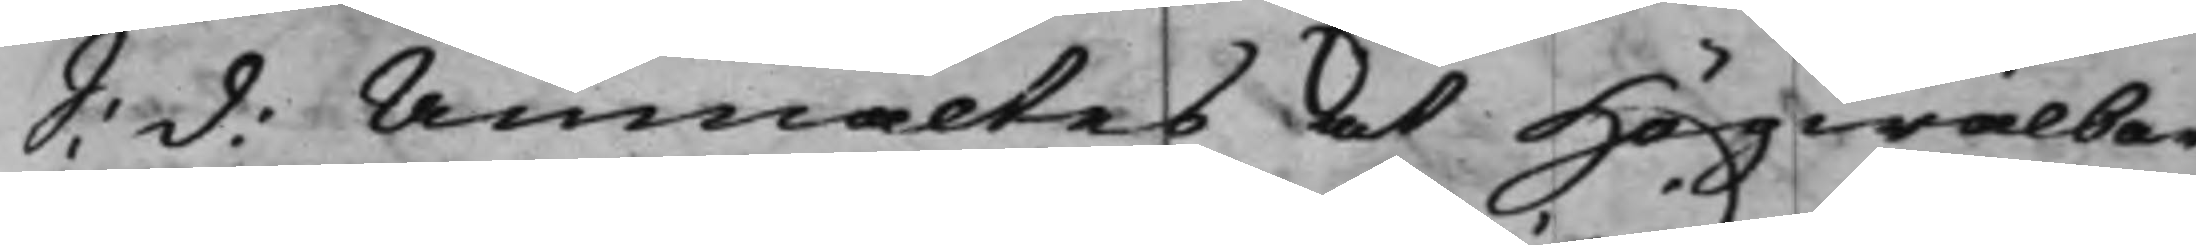S: d: Anmältes at Högwälbor¬
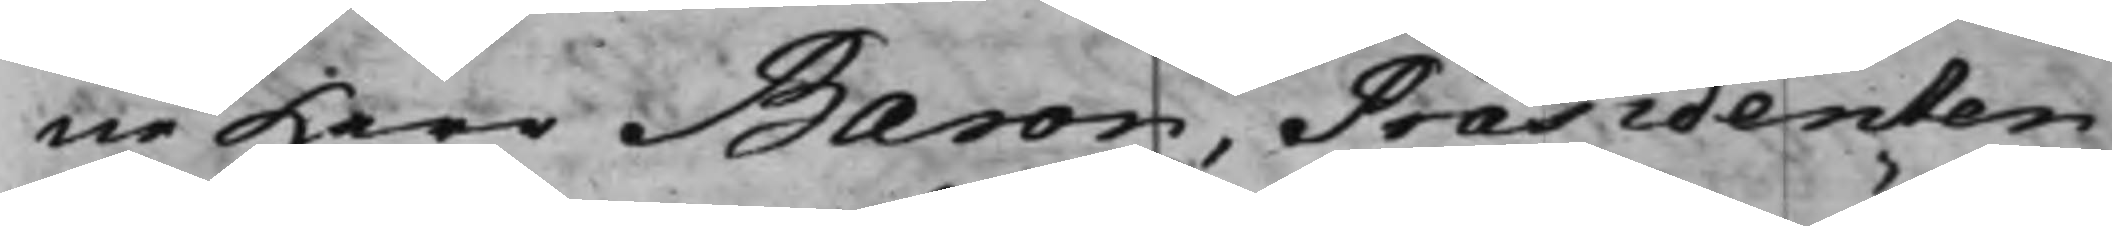ne Herr Baron, Præsidenten
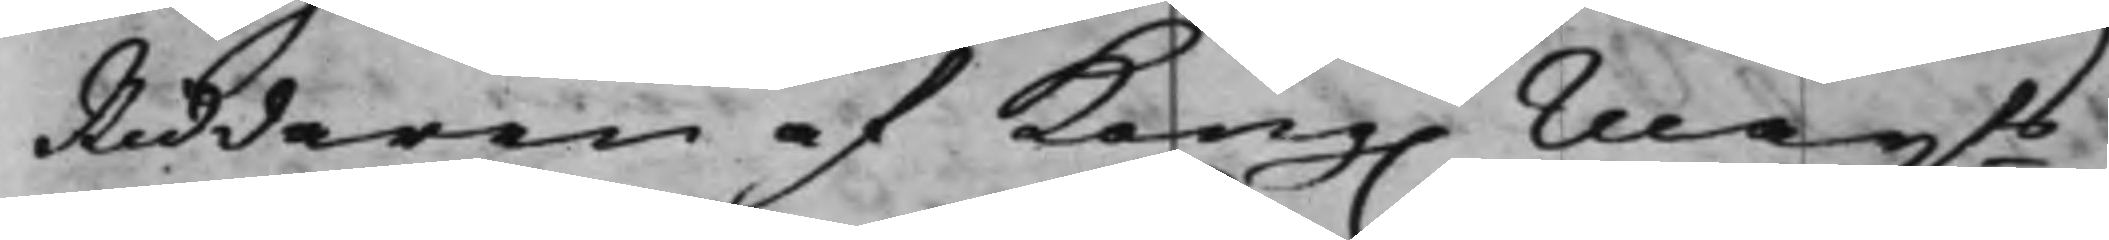Riddaren af Kong. Maijts
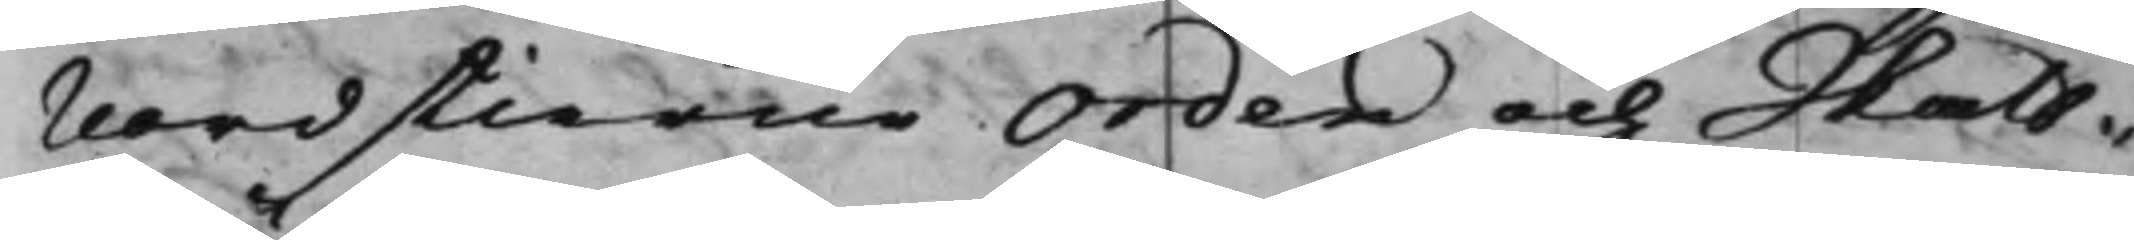Nordstierne Orden och Skatt¬
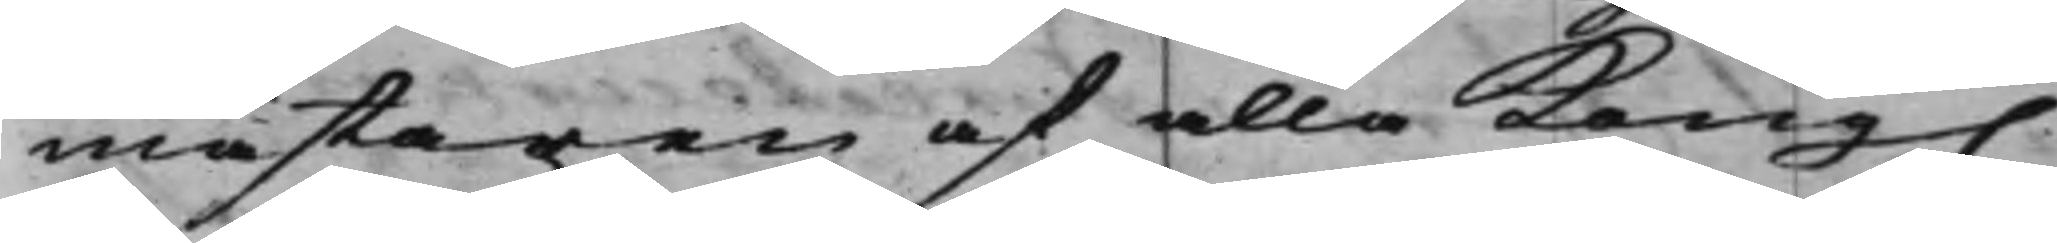mästaren af alla Kong.
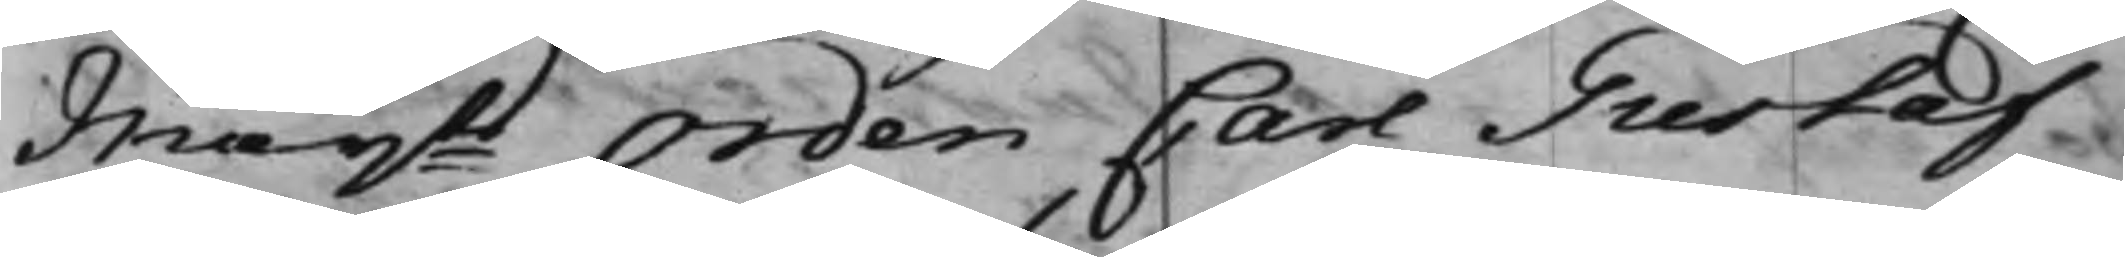Maijts Orden Carl Gustaf
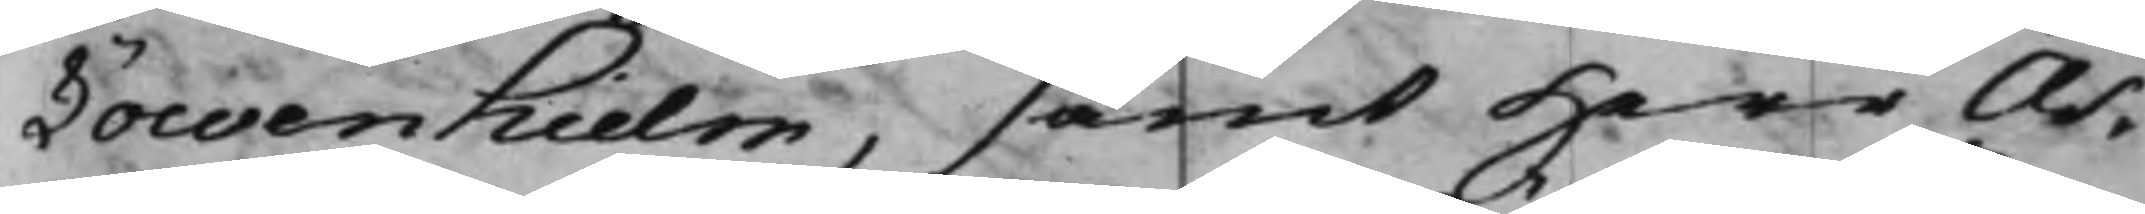Löwenhielm, samt Herr As¬
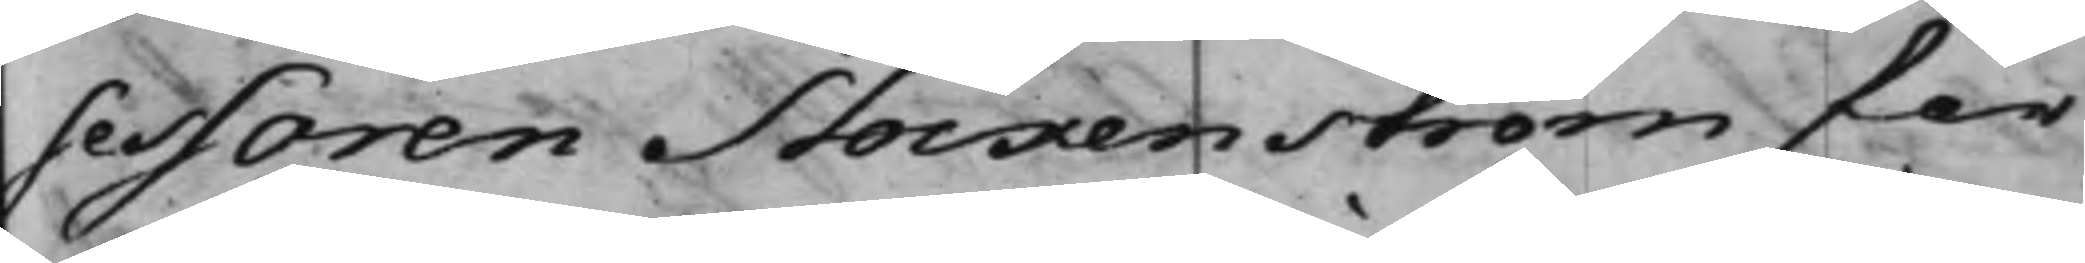sessoren Stockenström för
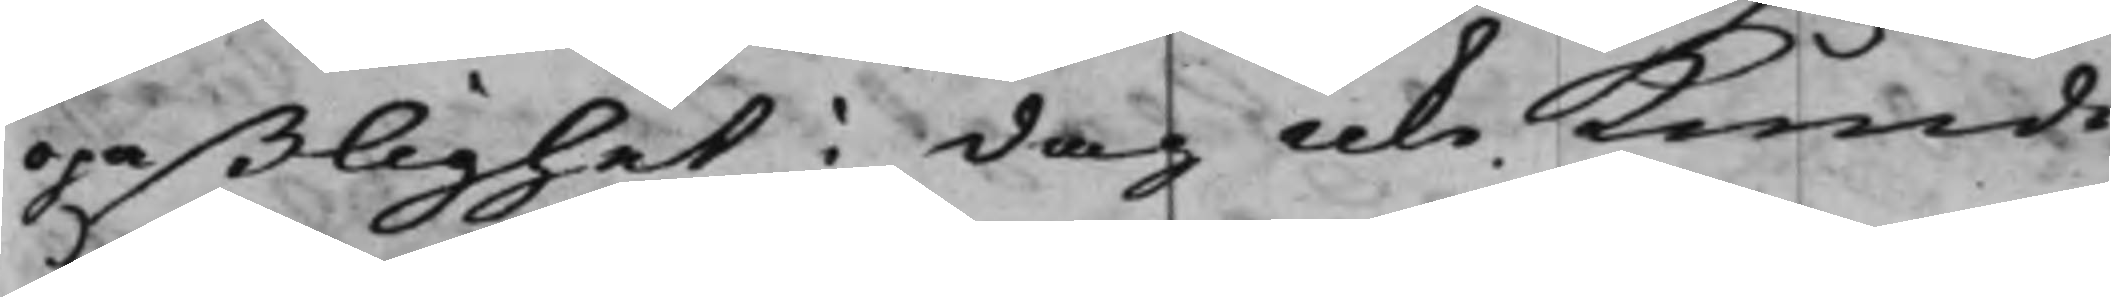opaßlighet i dag icke Kunde
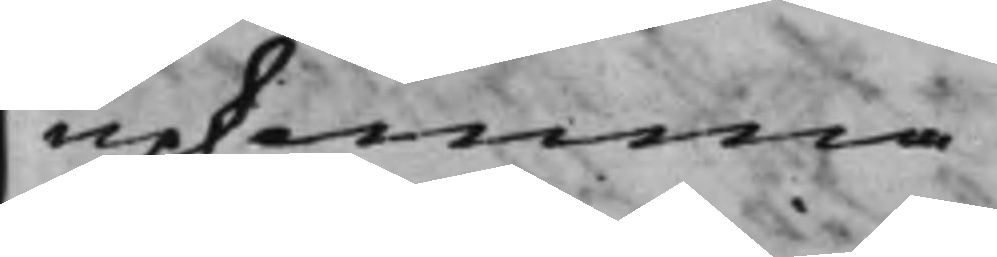upkomma.
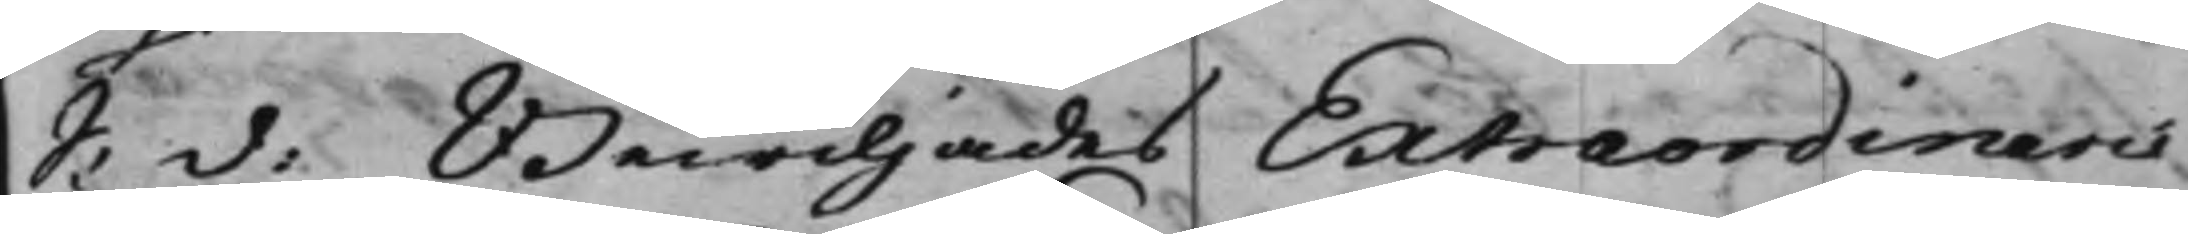S: d: Bewiljades Extraordinarie
